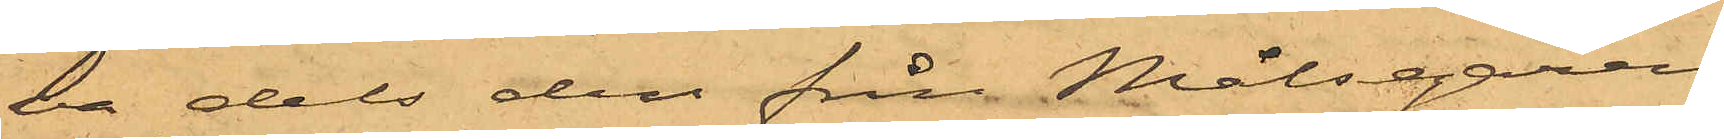va dels den från Målsegaren
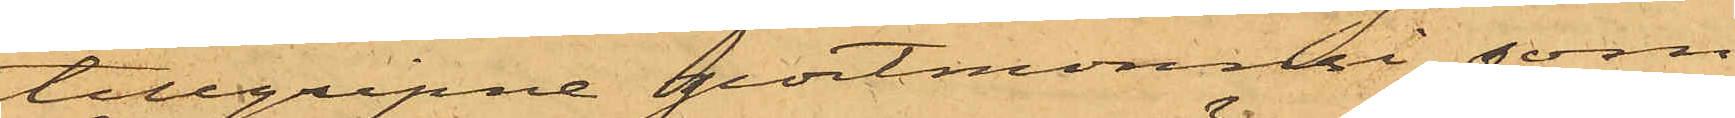tillgripne portmonnai, som
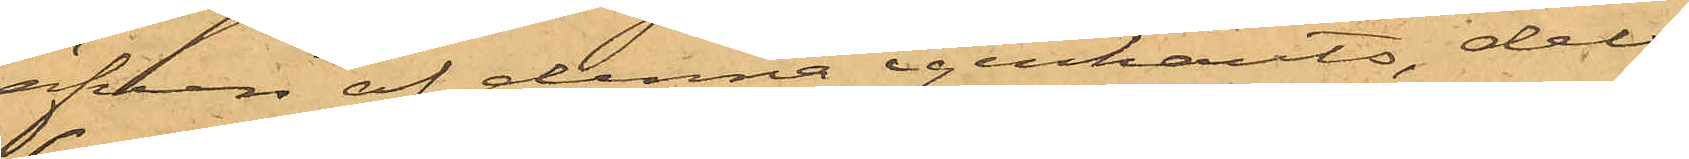äfven af denna igenkänts, dels
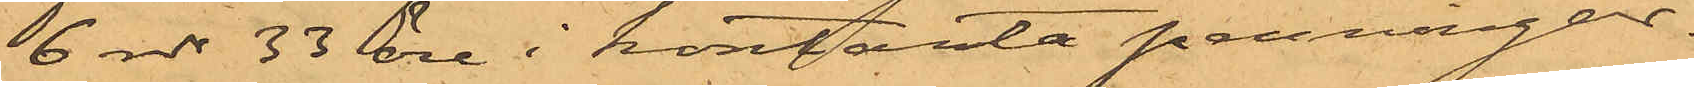6 rdr 33 öre i kontanta penningar.
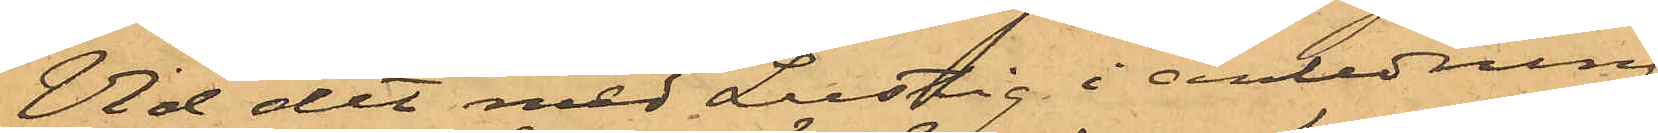Vid det med Lustig i anledning
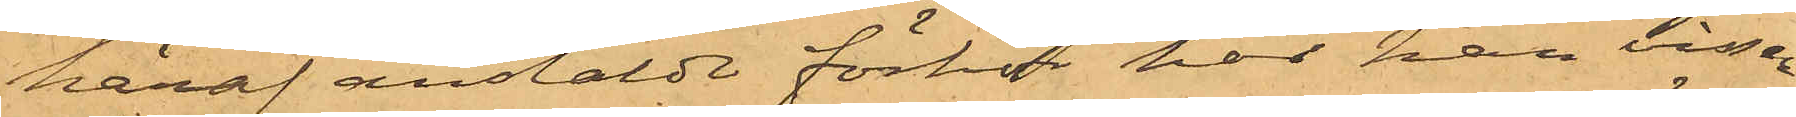häraf anstäldt förhör har han visser¬
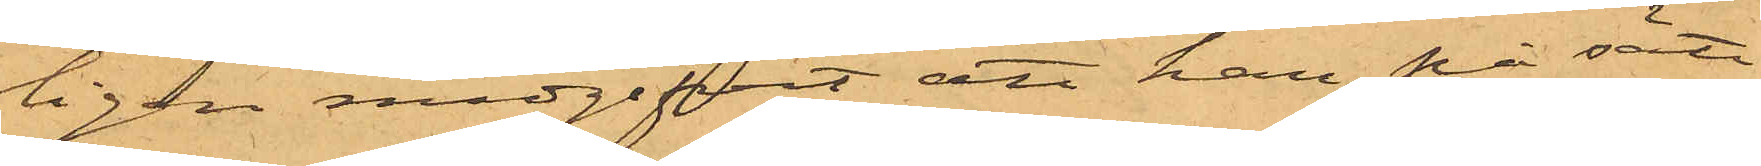ligen medgifvit att han, på sätt
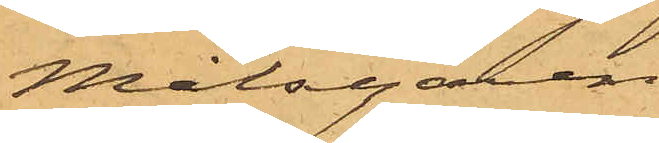Målsegaren
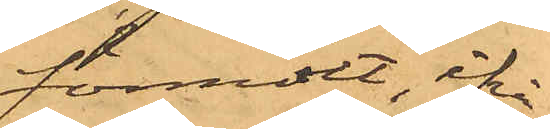förmält, ifrå¬
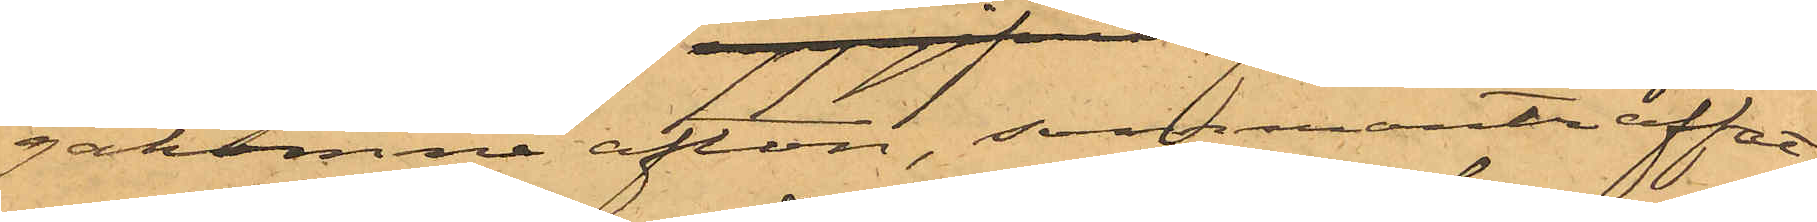gakomne afton, sammanträffat
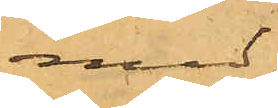med
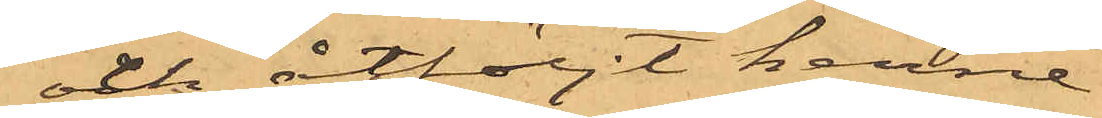och åtföljt henne
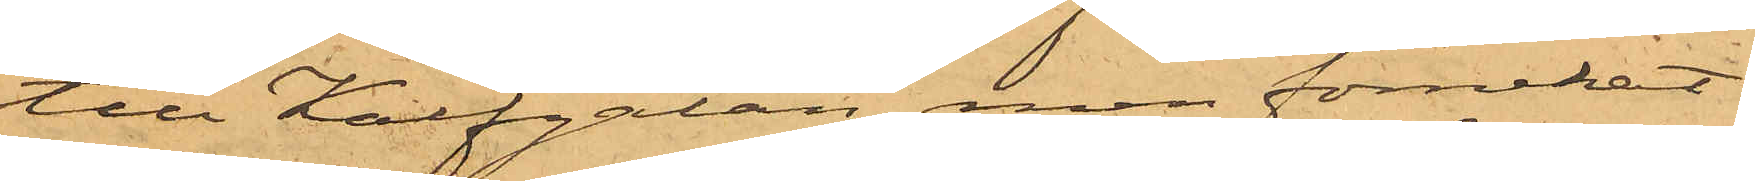till Kalfgatan, men förnekat
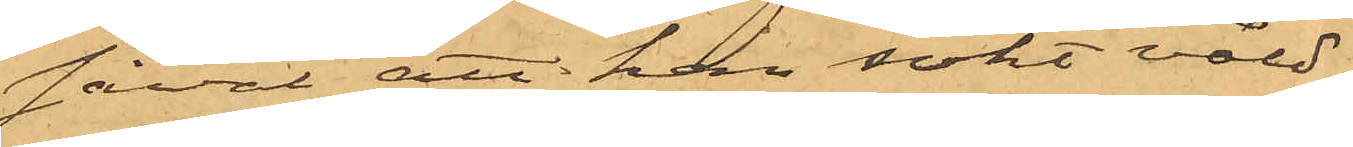såväl att han sökt våld¬
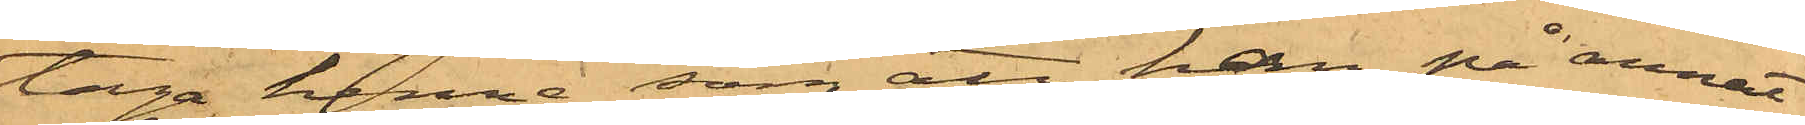taga henne som att han på annat
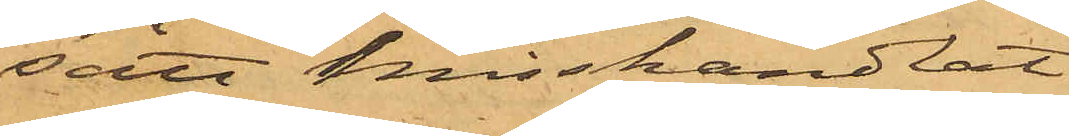sätt misshandlat
